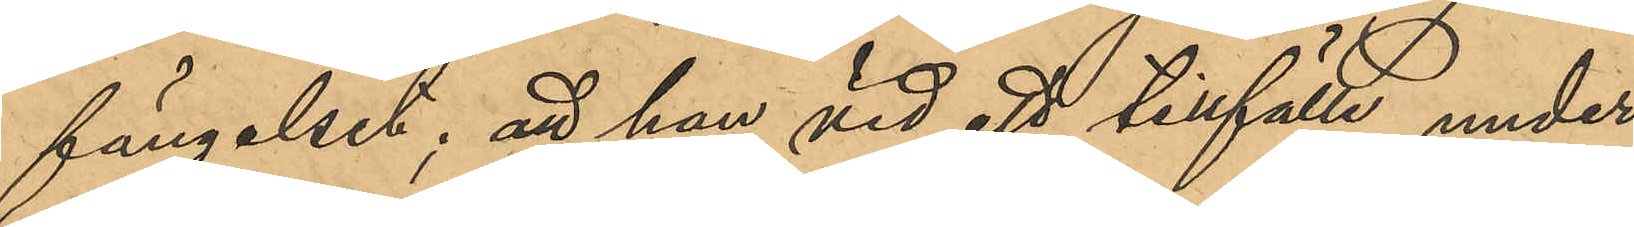fängelset; att han vid ett tillfälle under
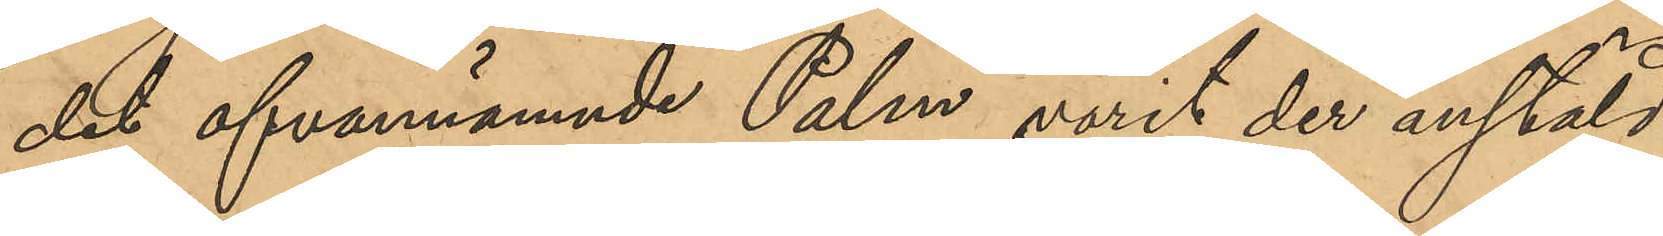det ofvannämnde Palm varit der anstäld,
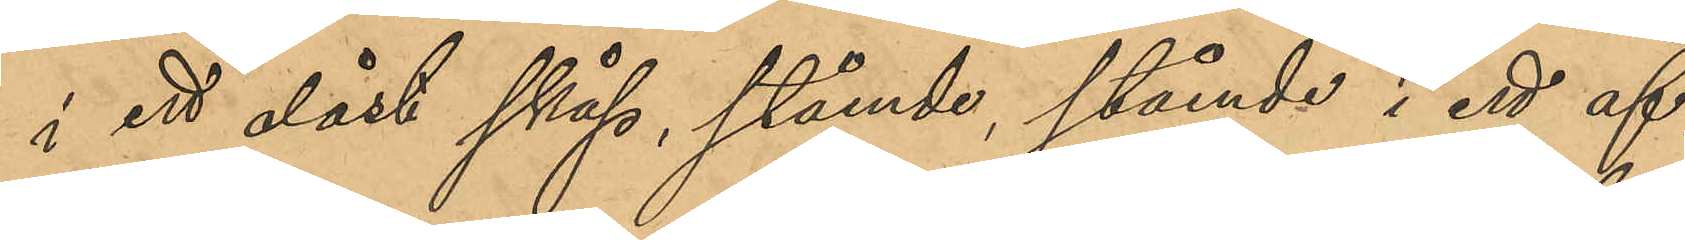i ett olåst skåp, stående, stående i ett af
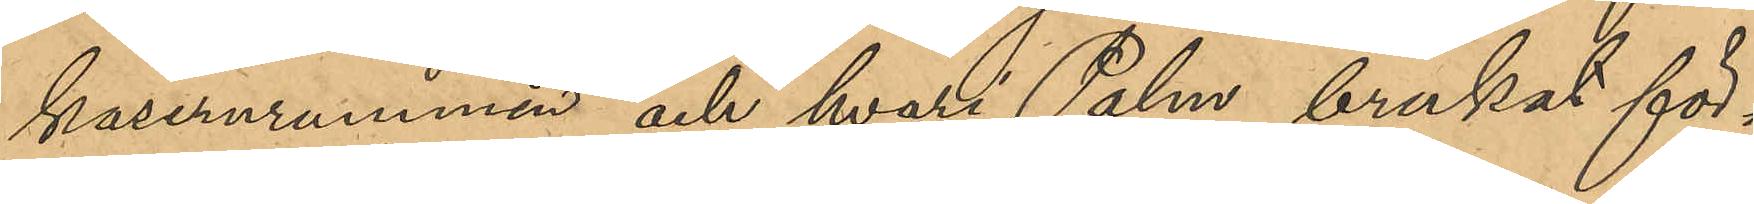kasernrummen och hvari Palm brukat för¬
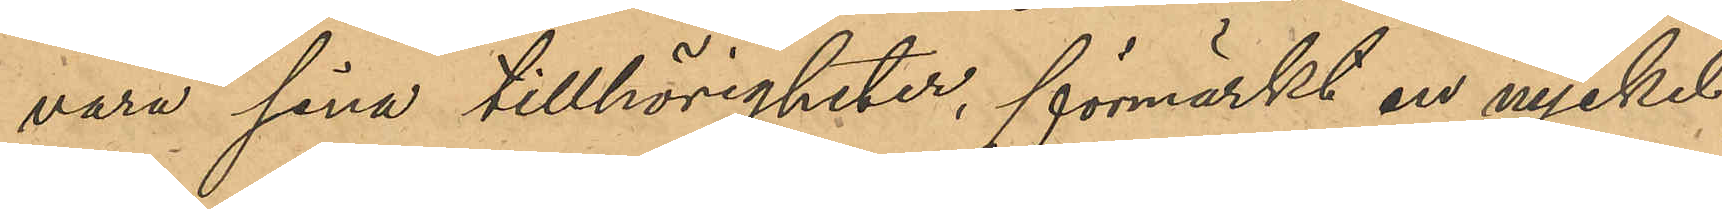vara sina tillhörigheter, förmärkt en nyckel
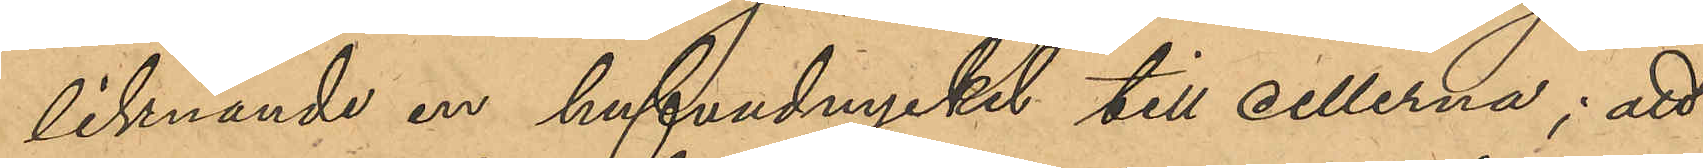liknande en hufvudnyckel till cellerna; att
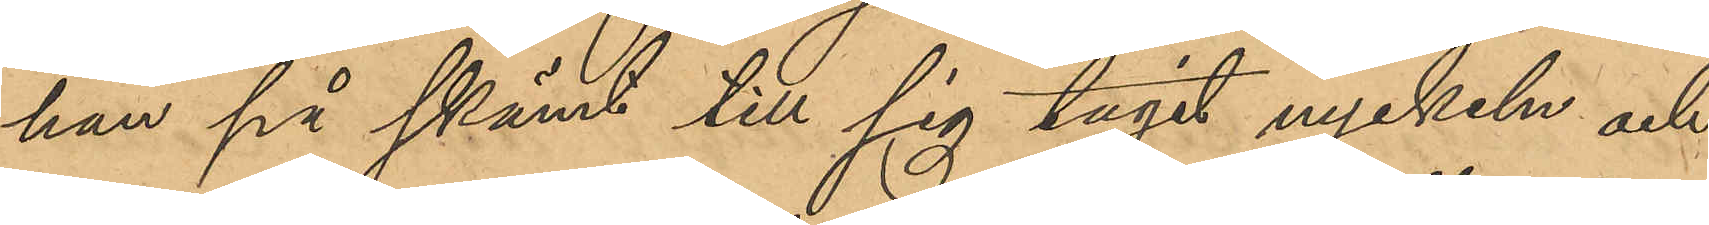han på skämt till sig tagit nyckeln och
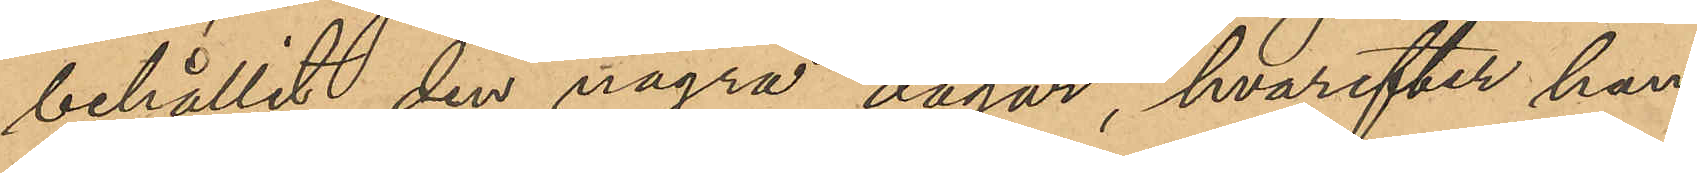behållit den några dagar, hvarefter han
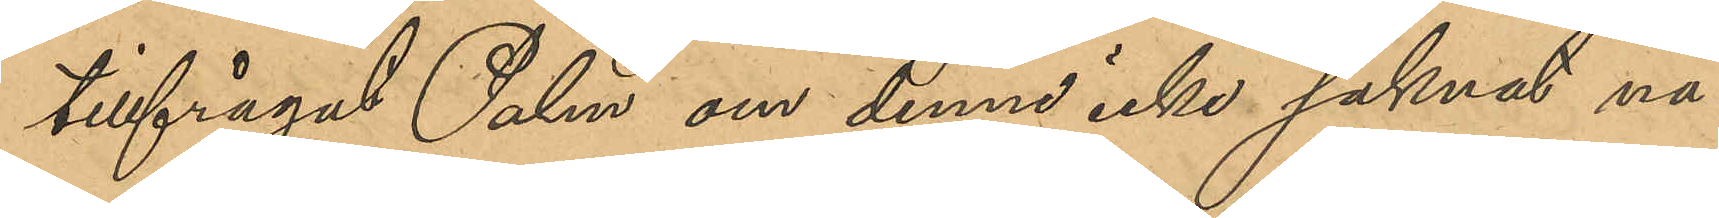tillfrågat Palm om denne icke saknat nå¬
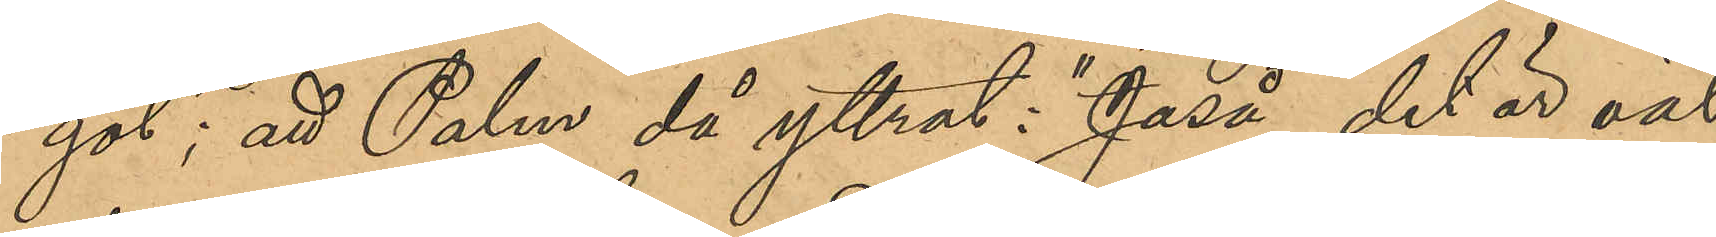got; att Palm då yttrat: "Jaså, det är väl
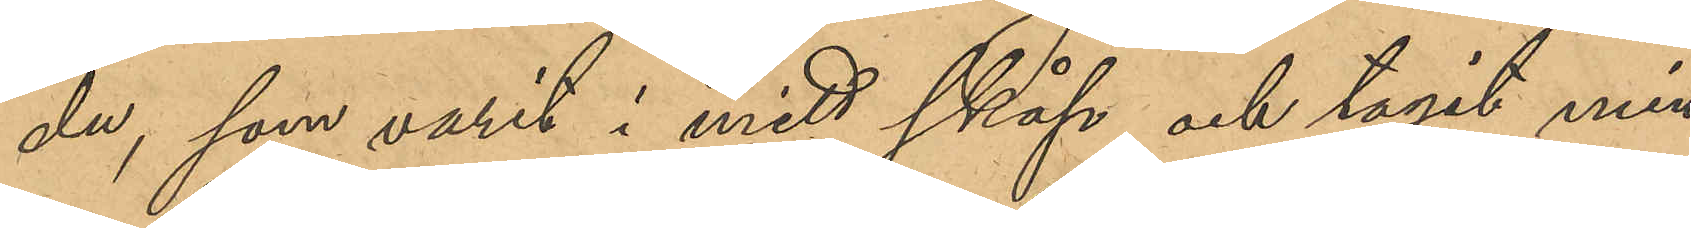du, som varit i mitt skåp och tagit min
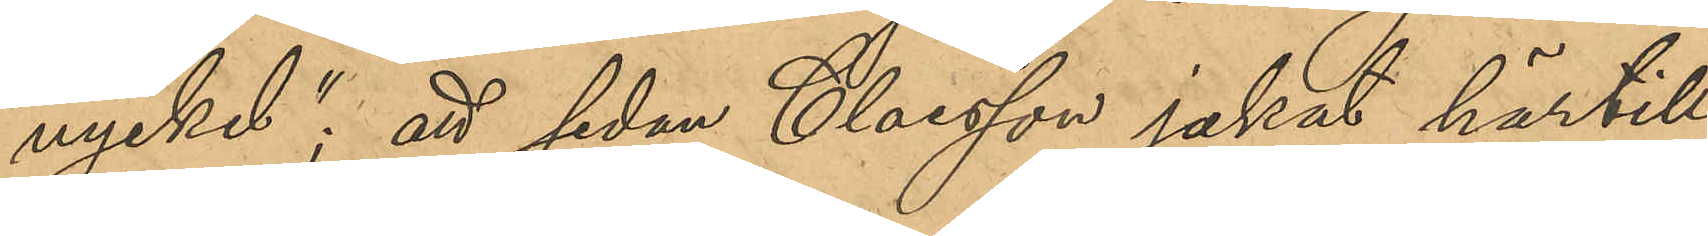nyckel"; att sedan Claesson jakat härtill
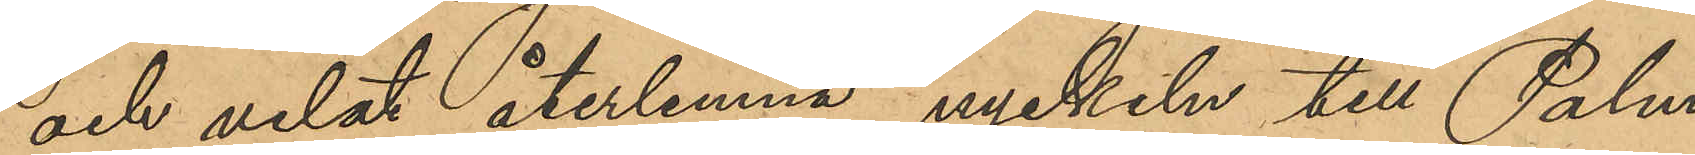och velat återlemna nyckeln till Palm,
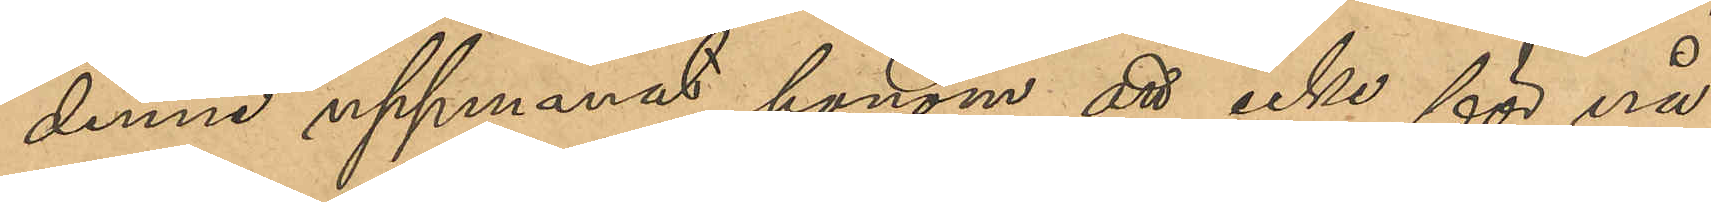denne uppmanat honom att icke för nå¬
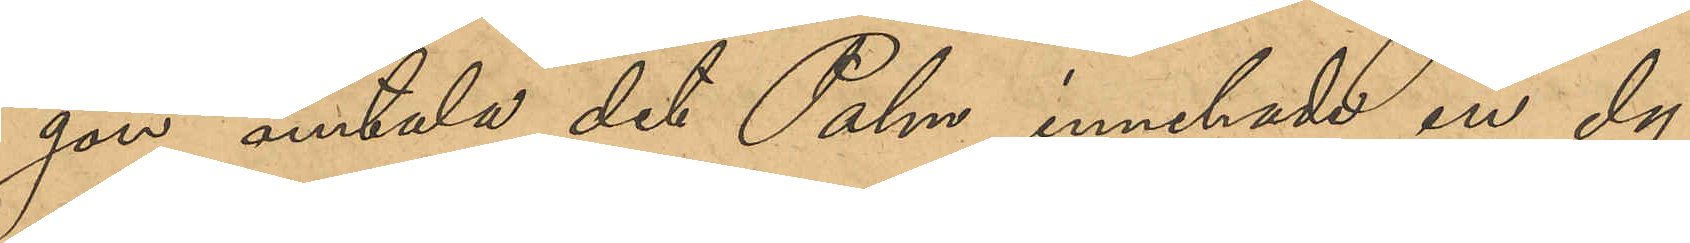gon omtala det Palm innehade en dy¬
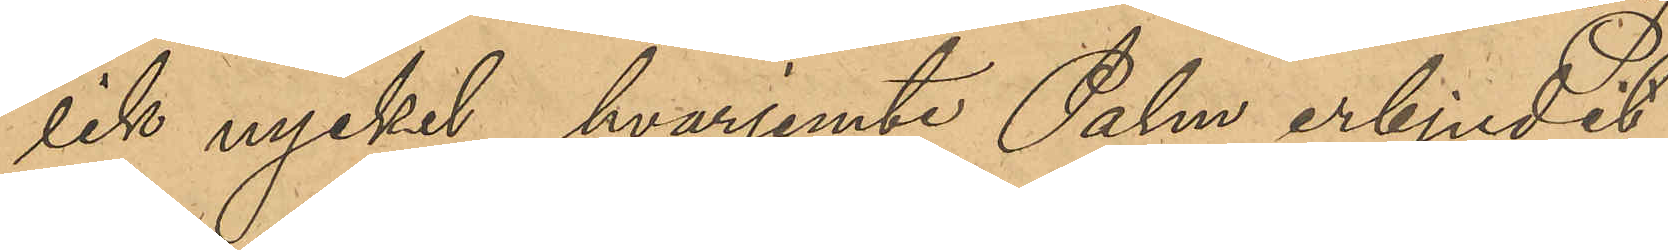lik nyckel, hvarjemte Palm erbjudit
